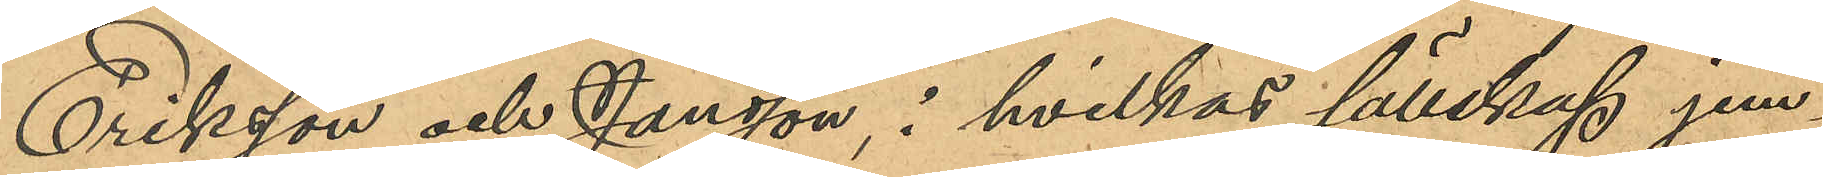Eriksson och Jansson i hvilkas sällskap jem¬
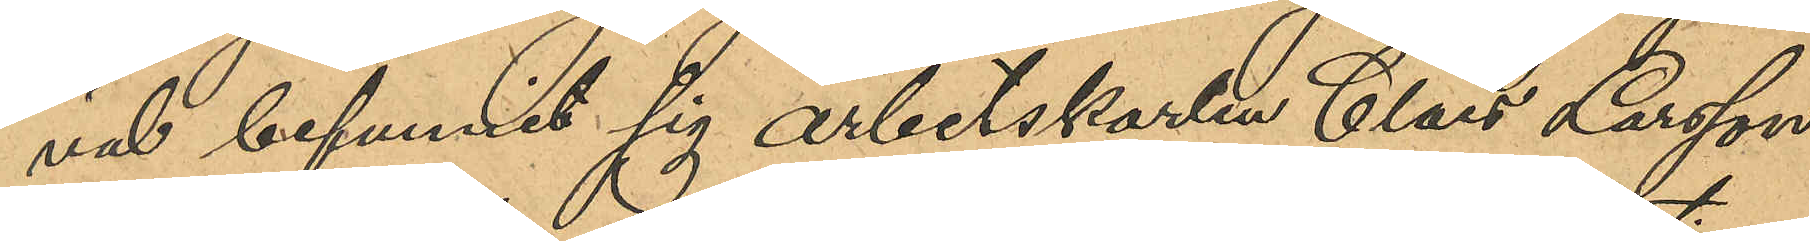väl befunnit sig arbetskarlen Claes Larsson
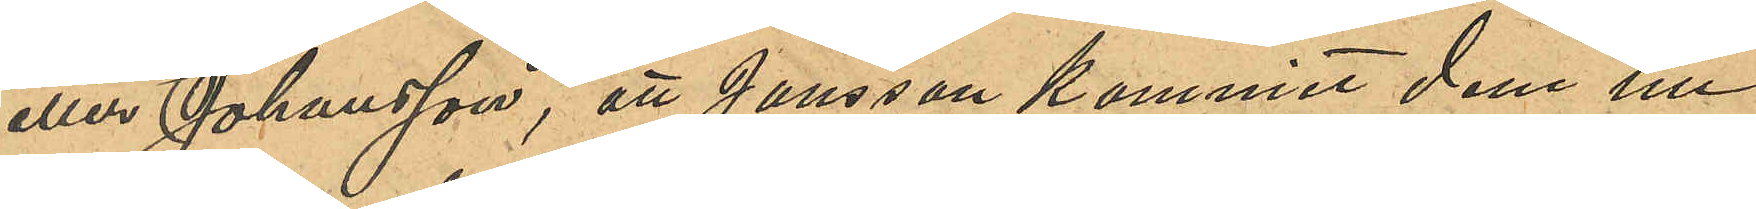eller Johansson, att Jansson kommit dem till¬
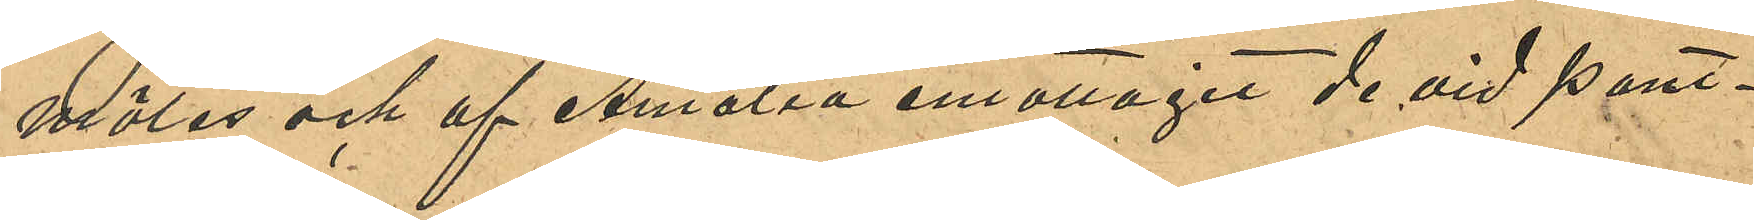mötes och af Amalia emottagit de vid pant¬
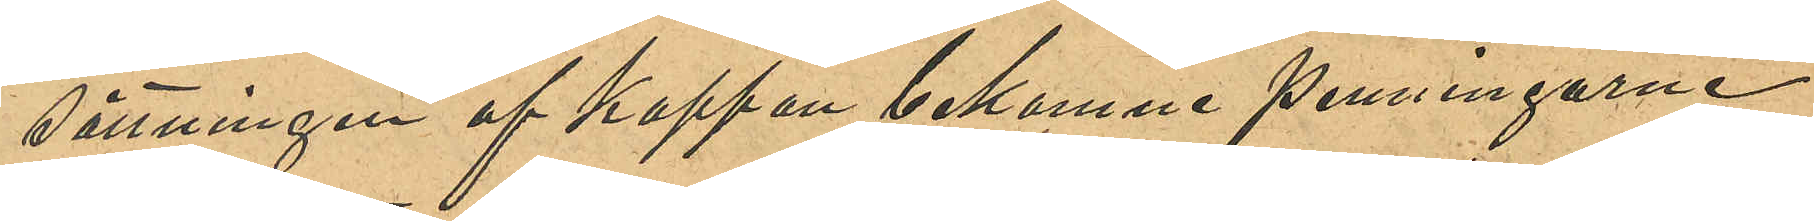sättningen af kappan bekomne penningarne
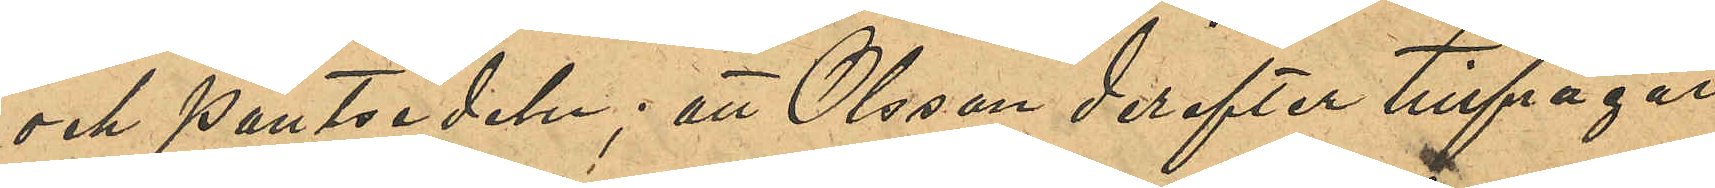och pantsedeln; att Olson derefter tillfrågat
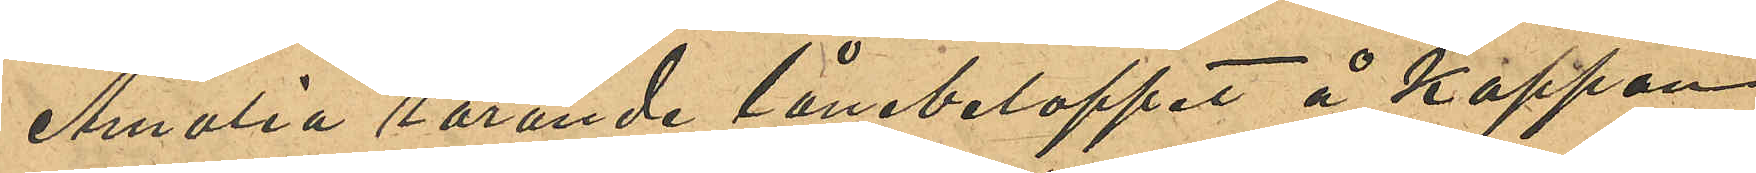Amalia rörande lånebeloppet å kappan
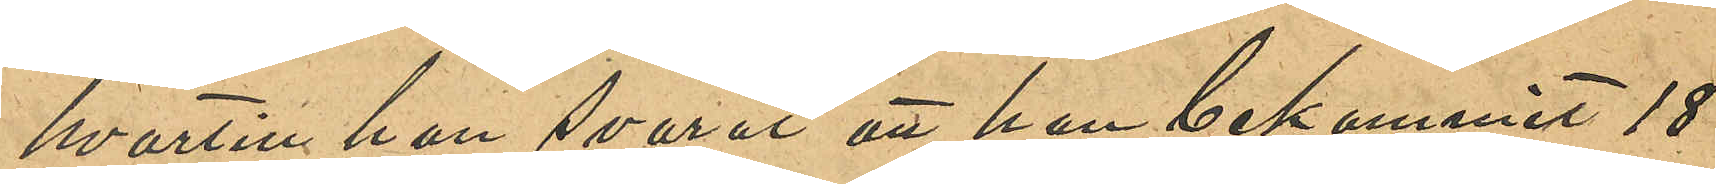hvartill hon svarat att hon bekommit 18
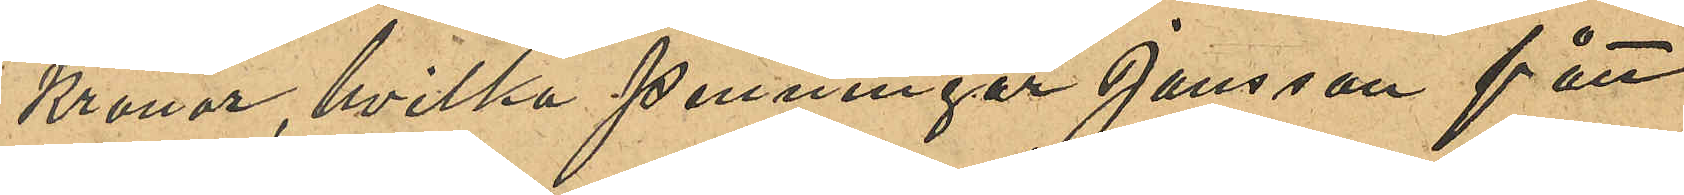Kronor, hvilka penningar Jansson fått
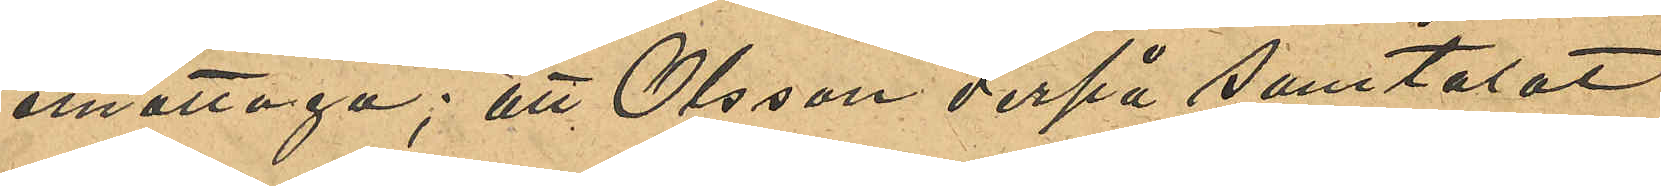emottaga; att Olsson derpå samtalat
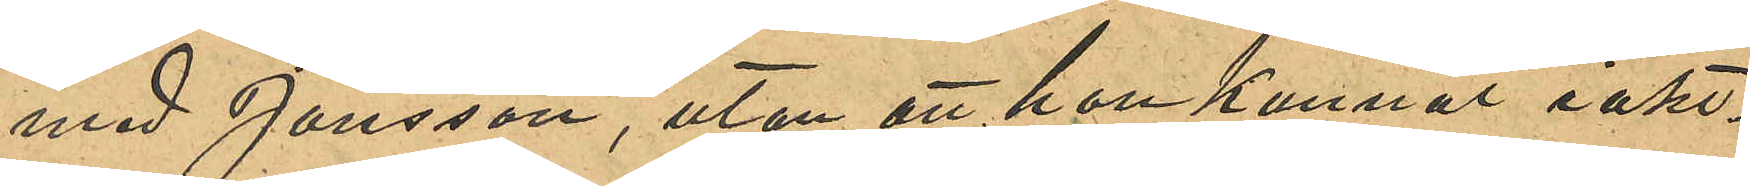med Jansson utan att hon kunnat iakt¬
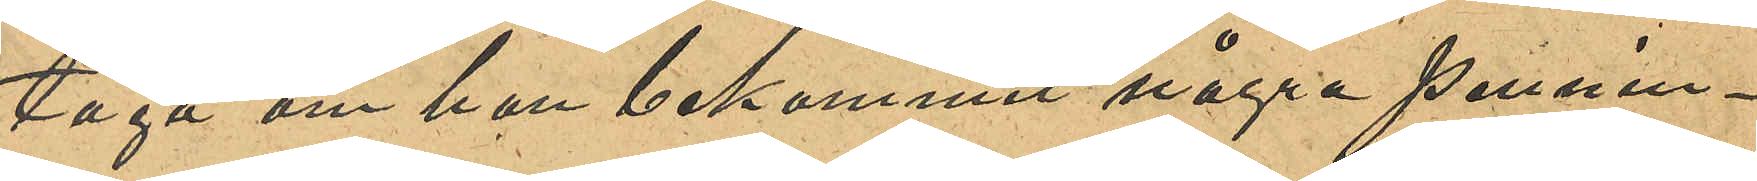taga om han bekommit några pennin¬
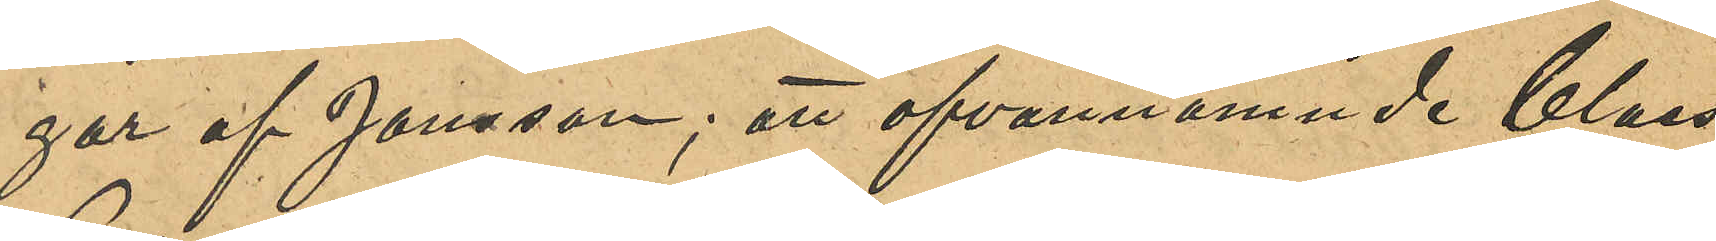gar af Jansson; att ofvannämnde Claes
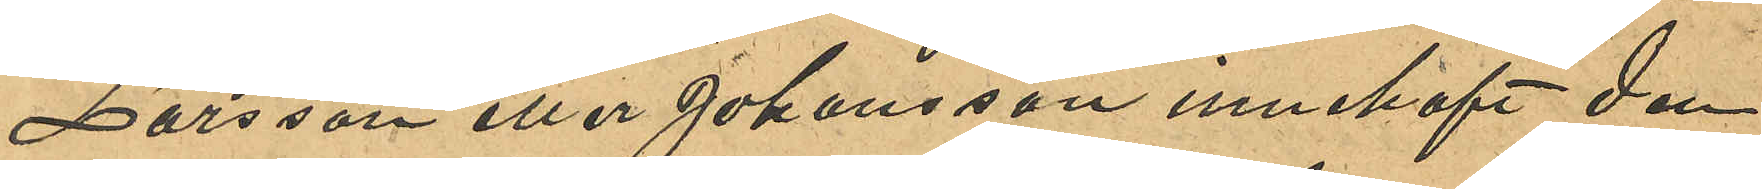Larsson eller Johansson innehaft den
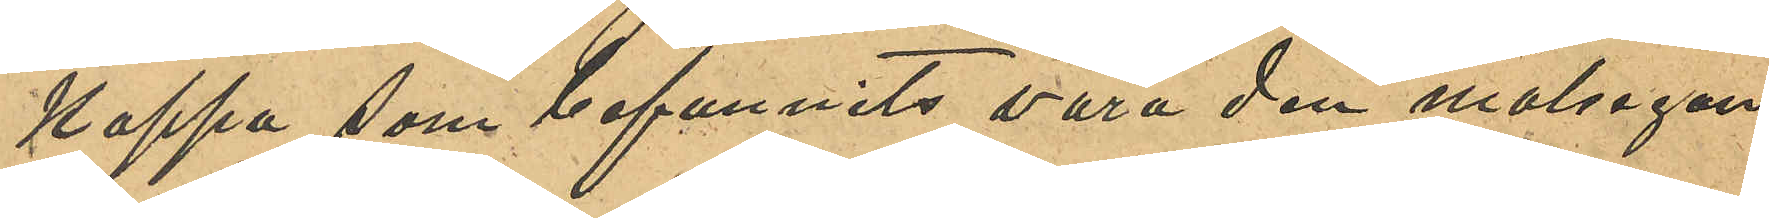kappa som befunnits vara den målsegan¬
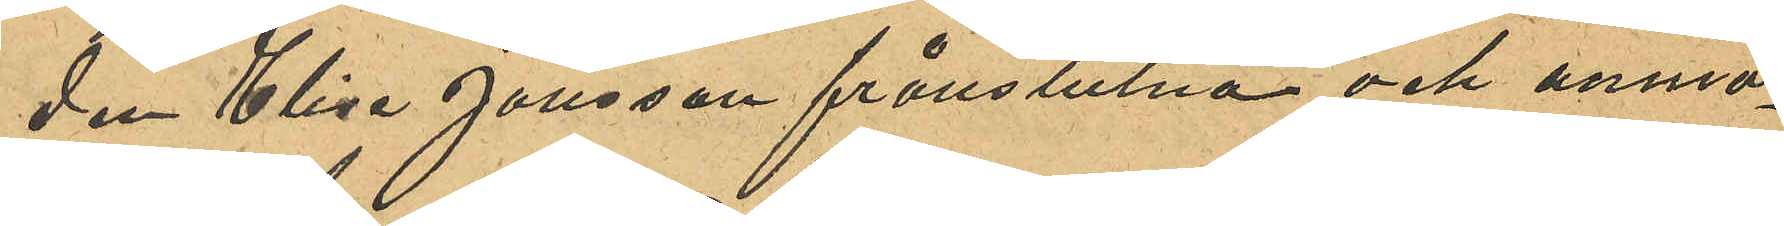den Elise Jonssons frånstulna och anmo¬
